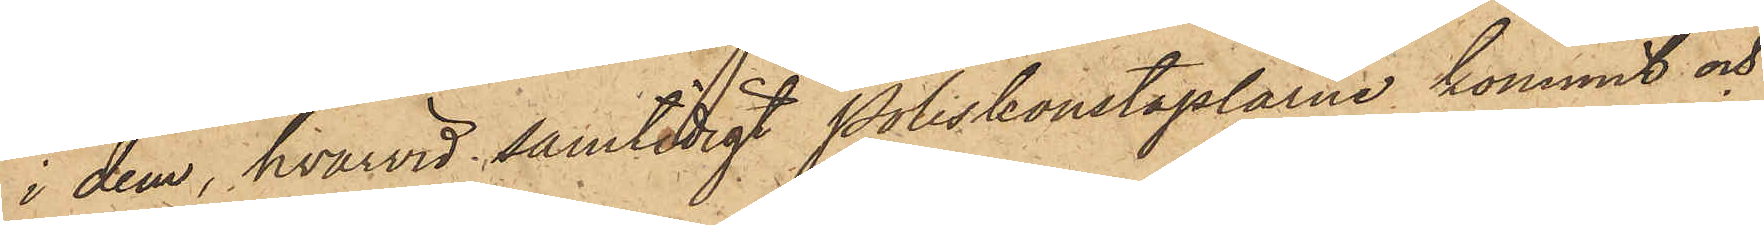i dem, hvarvid samtidigt Poliskonstaplarne kommit och
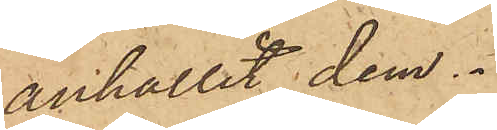anhållit dem.
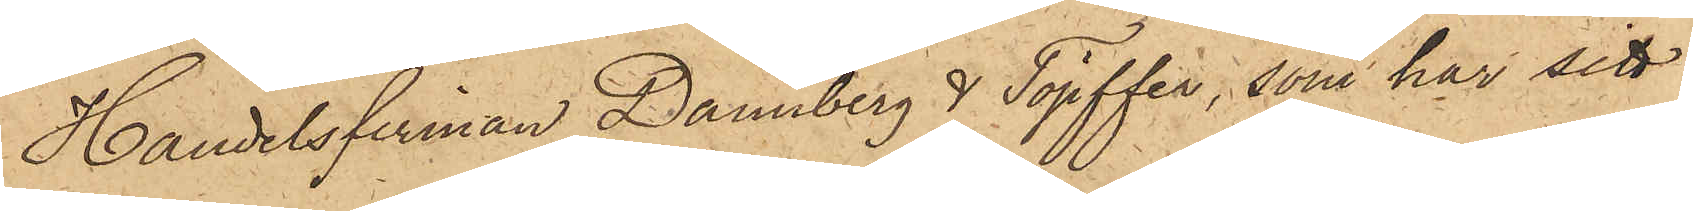Handelsfirman Dannberg & Töpffer, som har sitt
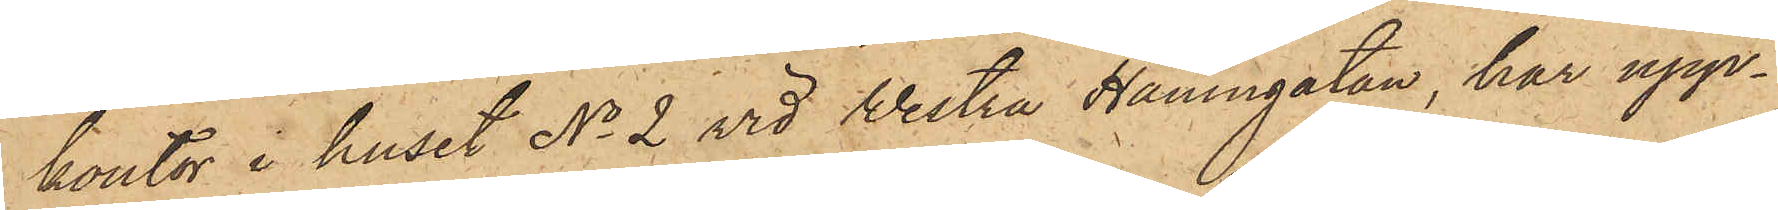kontor i huset No 2 vid Westra Hamngatan, har upp¬
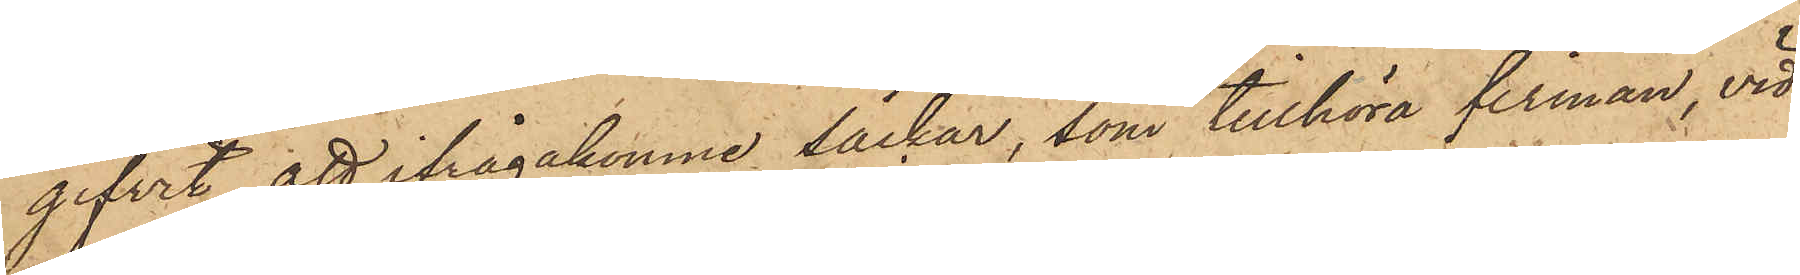gifvit, att ifrågakomne säckar, som tillhöra firman, vid
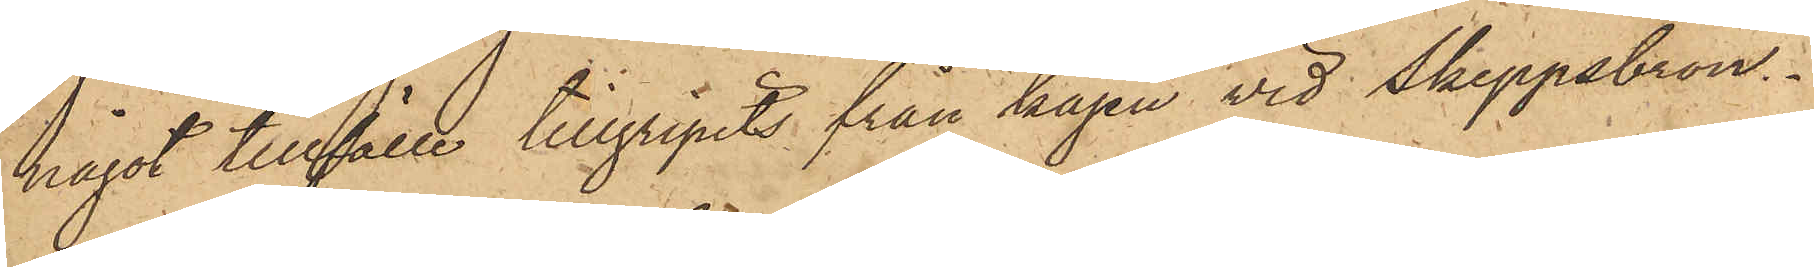något tillfälle tillgripits från kajen vid Skeppsbron.
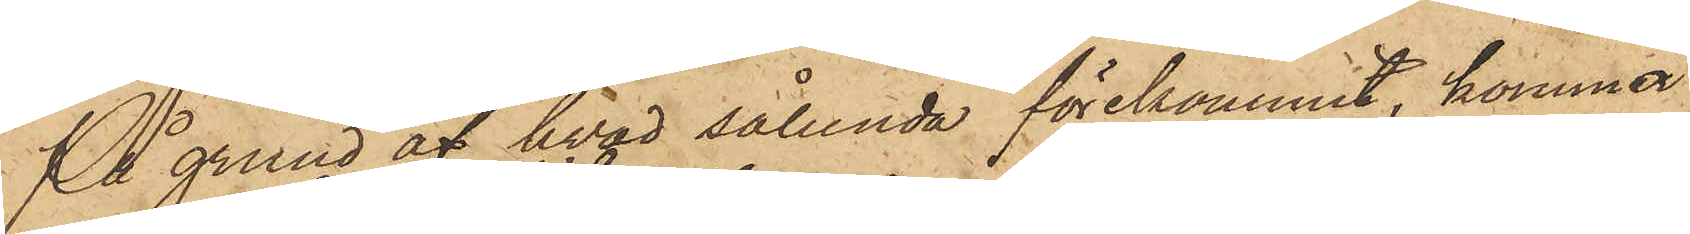På grund af hvad sålunda förekommit, kommer
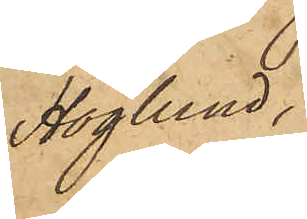Höglund,
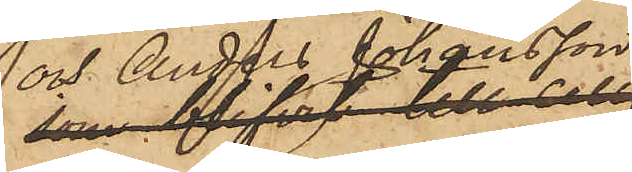och Anders Johansson, 
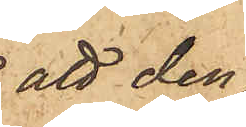att den¬
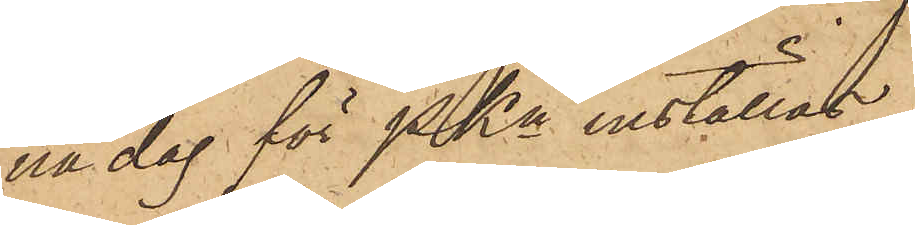na dag för PKn inställas.
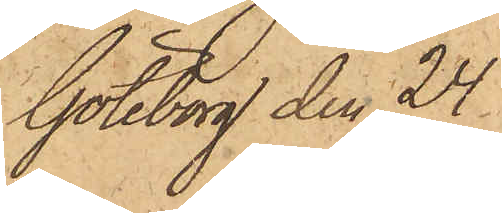Göteborg den 24
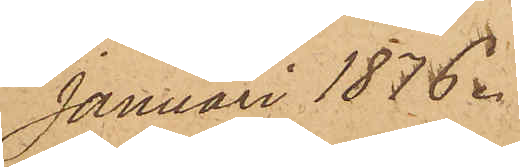januari 1876.
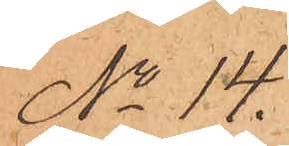No 14.
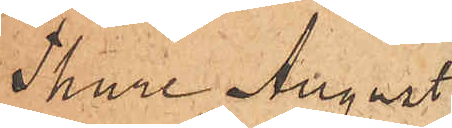Thure August
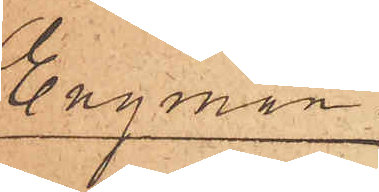Engman
